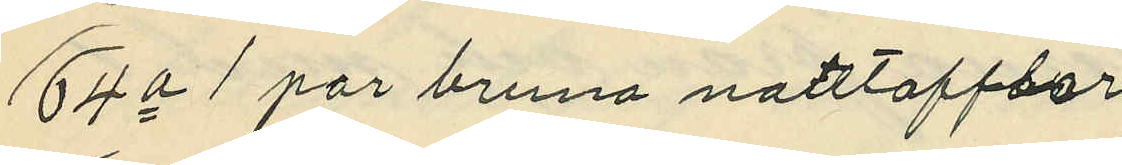64o 1 par bruna nattofflor
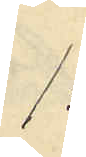1:
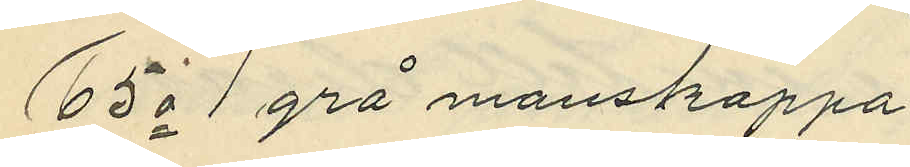65o 1 grå manskappa
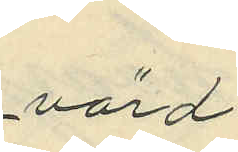värd
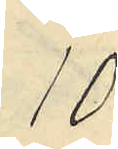10:
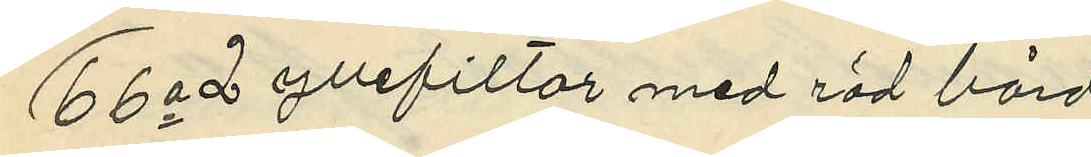66o 2 yllefiltar med röd bård
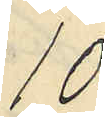10:
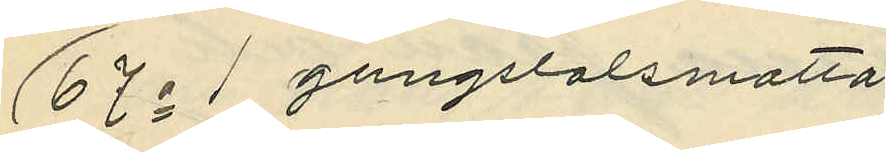67o 1 gungstolsmatta
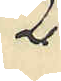2:
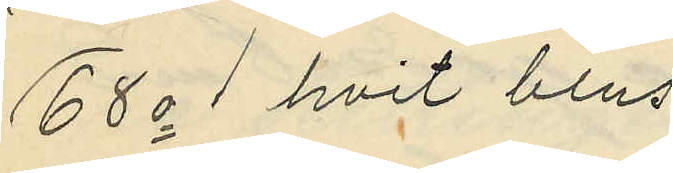68o 1 hvit blus
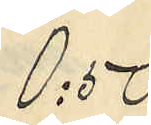0:50
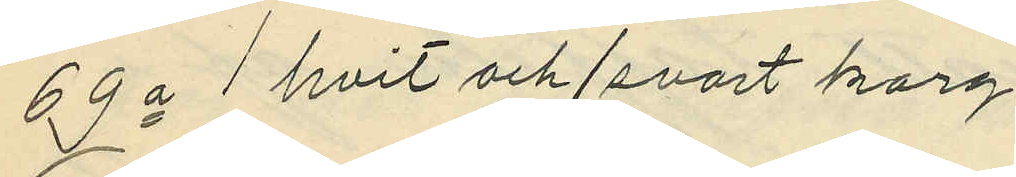69o 1 hvit och/svart korg
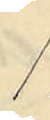1:
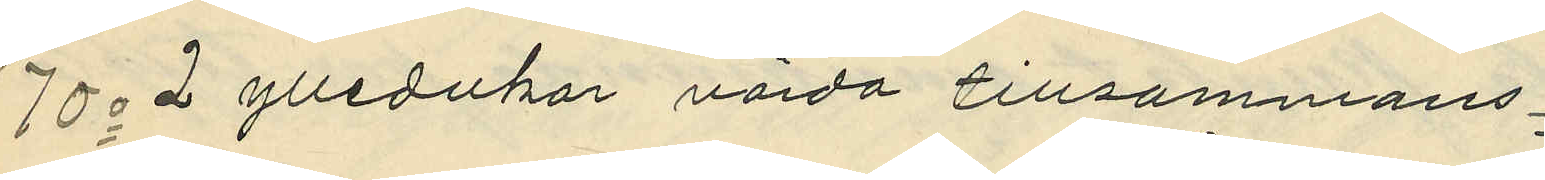70o 2 ylledukar värda tillsammans
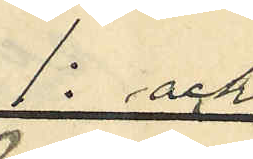1: och
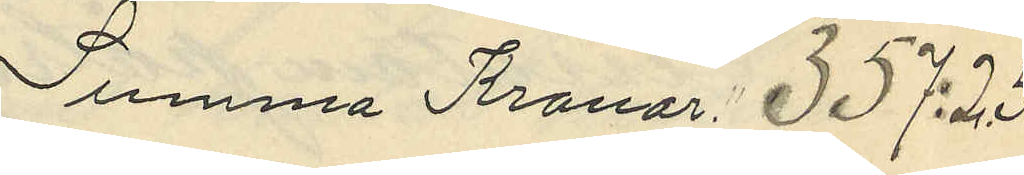Summa Kronor 357:25
